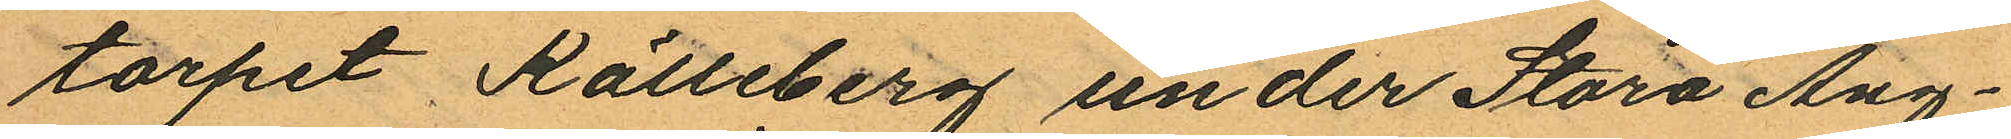torpet Källeberg under Stora Äng¬
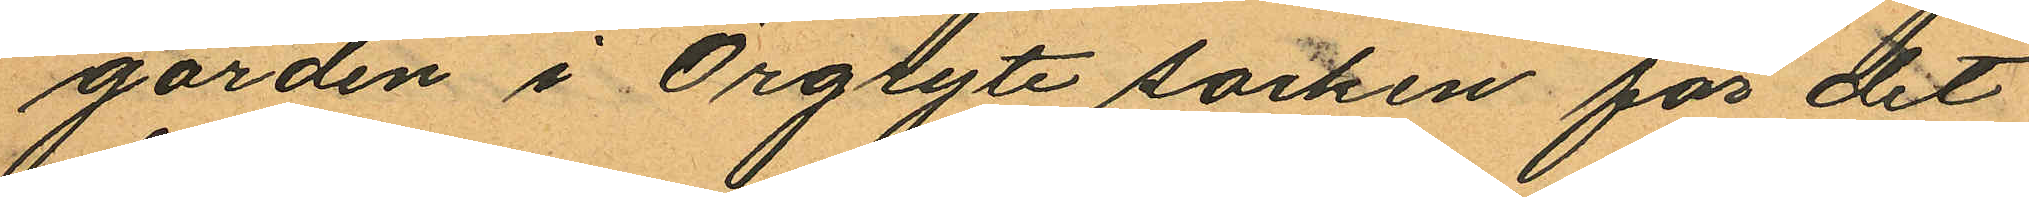gården i Örgryte socken för det
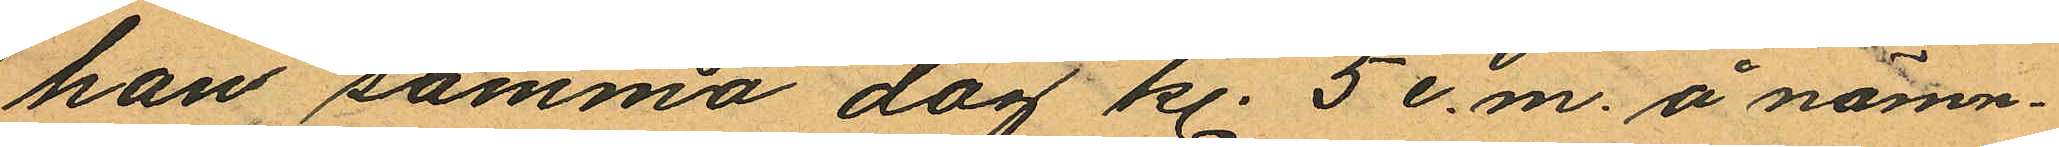han samma dag kl. 5 e.m. å nämn¬
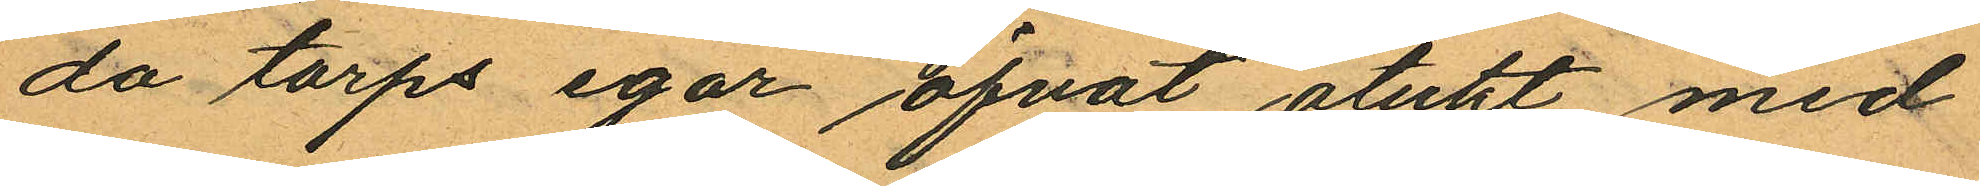da torps egor öfvat otukt med
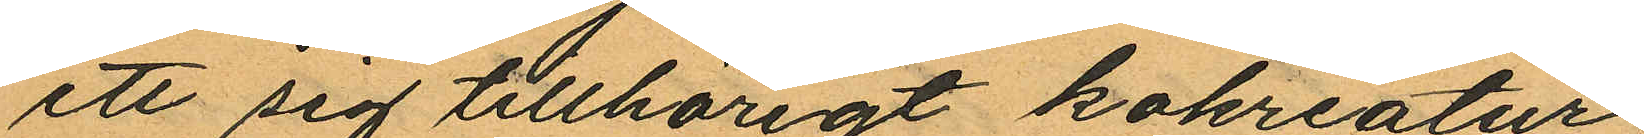ett sig tillhörigt kokreatur;
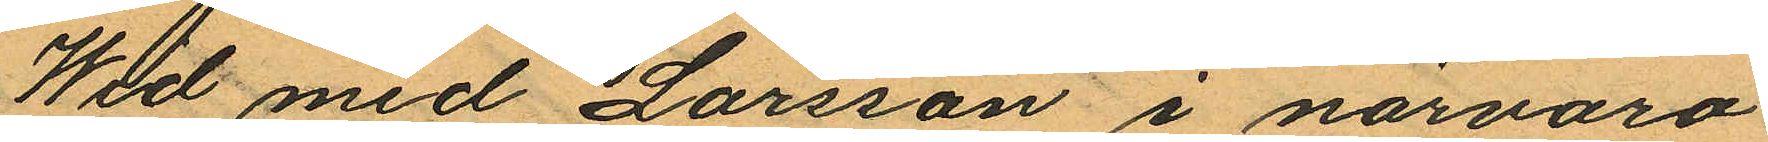Wid med Larsson i närvaro
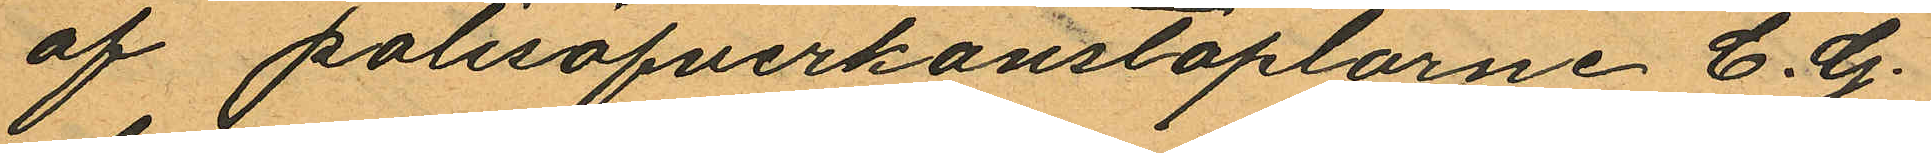af polisöfverkonstaplarne C. G.
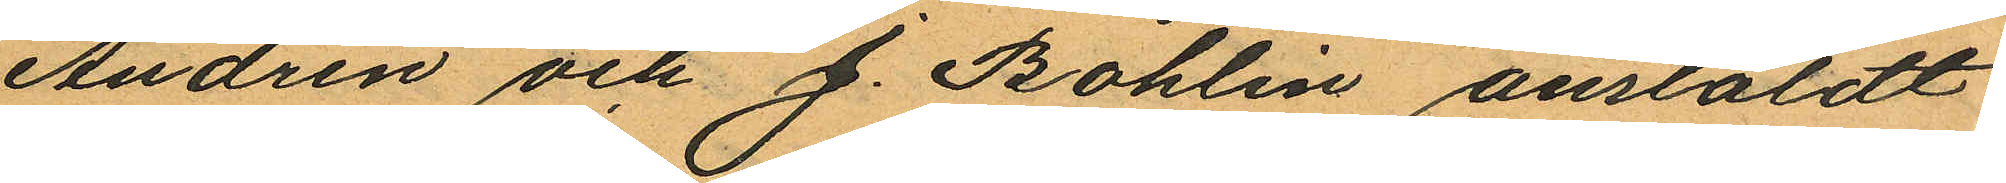Andrén och J. Bohlin anstäldt
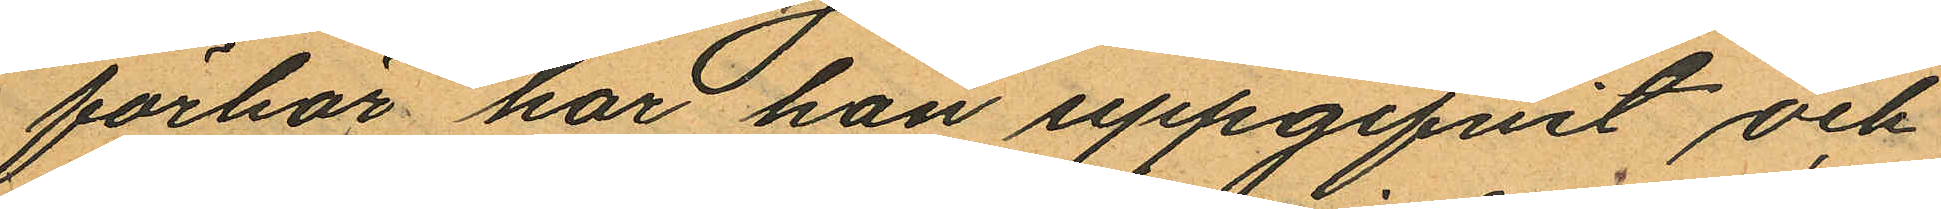förhör har han uppgifvit och
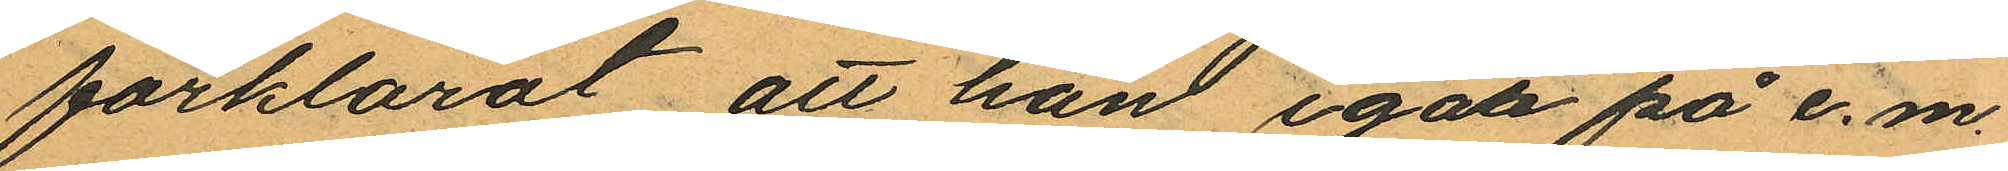förklarat att han igår på e. m.
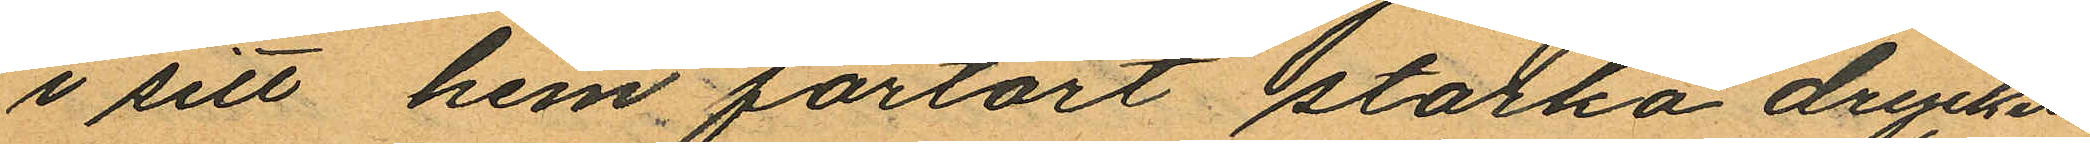i sitt hem förtärt starka drycker
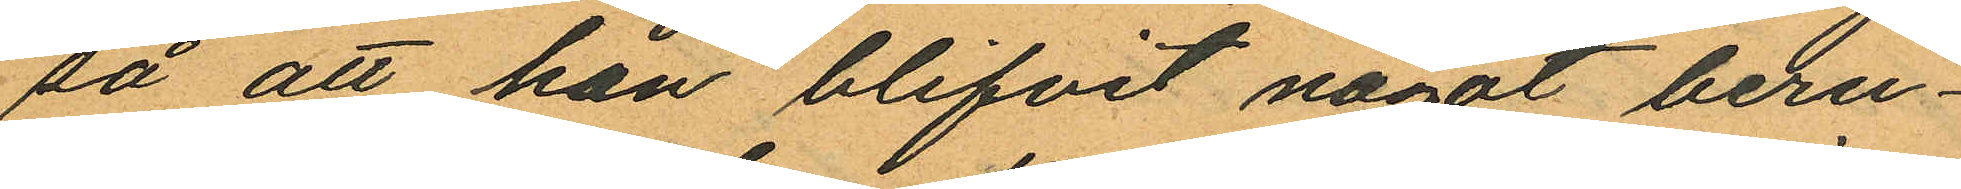så att han blifvit något beru¬
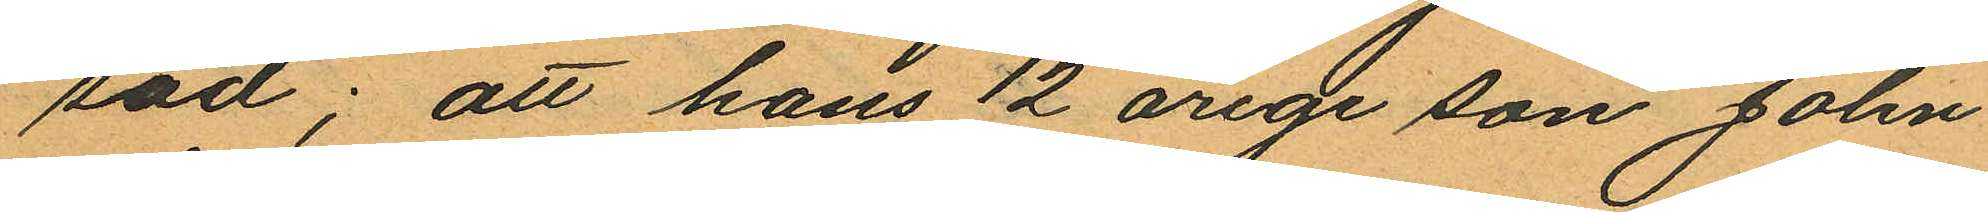sad; att hans 12 årige son John
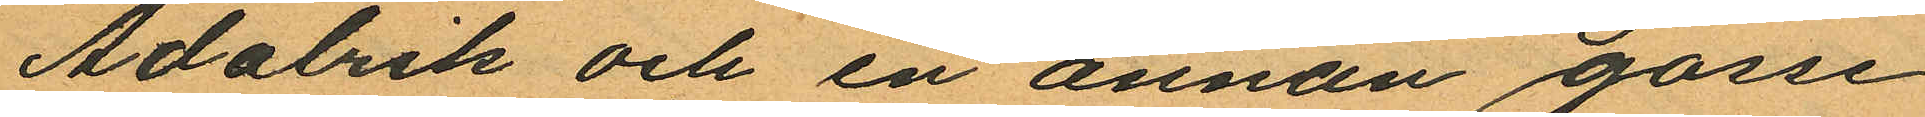Adalrik och en annan gosse
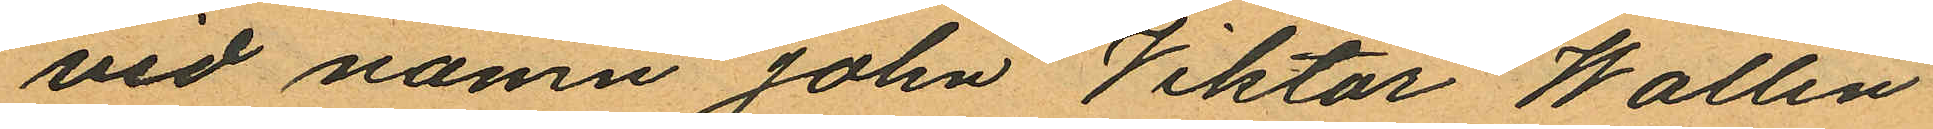vid namn John Viktor Wallin
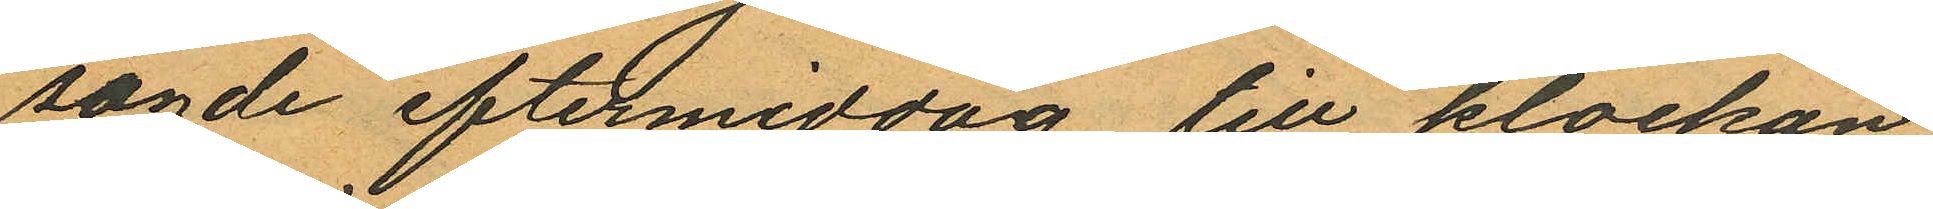sagde eftermiddag till klockan
